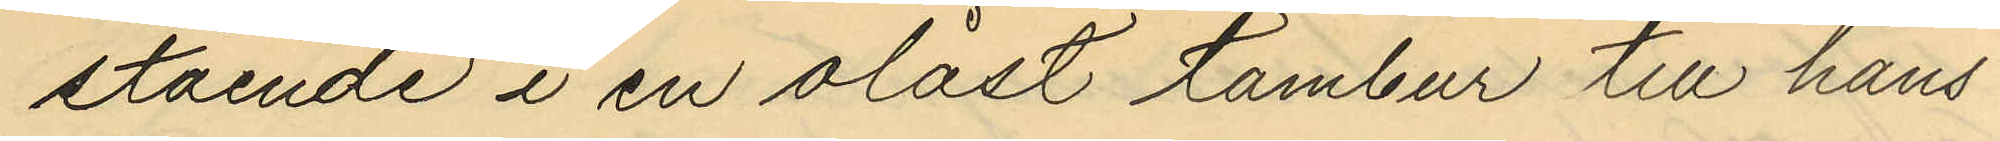stående i en olåst tambur till hans
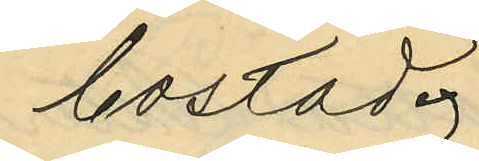bostad.
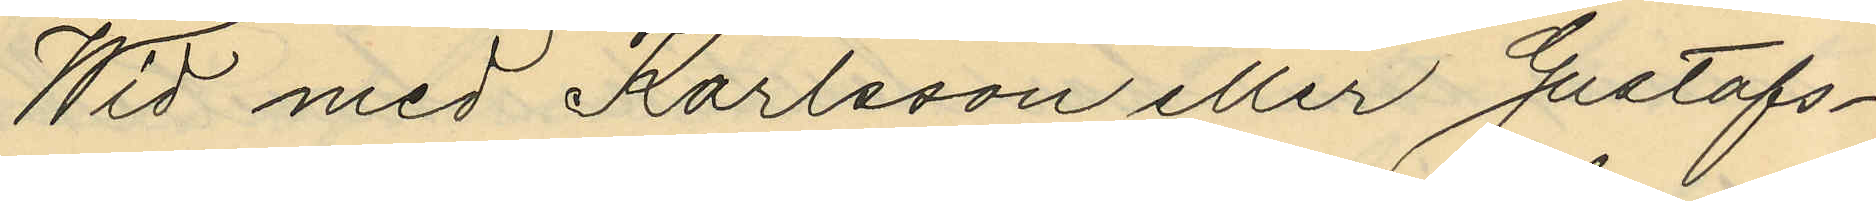Wid med Karlsson eller Gustafs¬
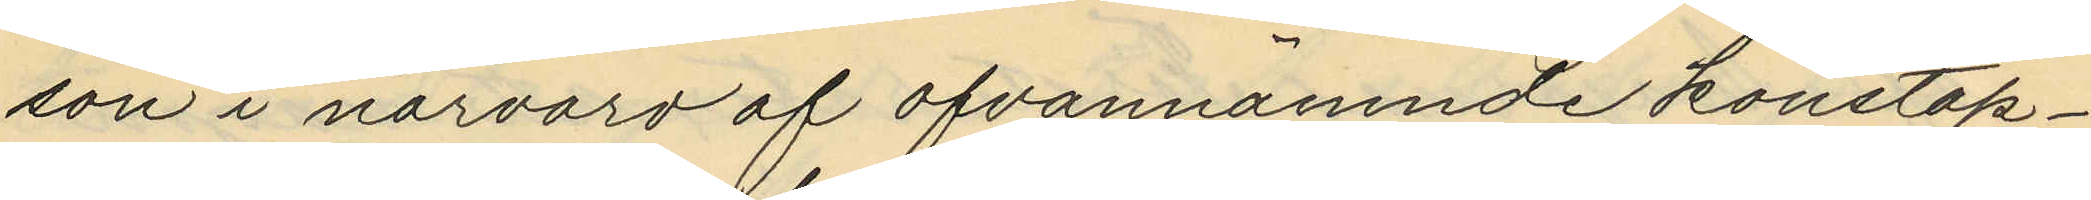son i närvaro af ofvannämnde konstap¬
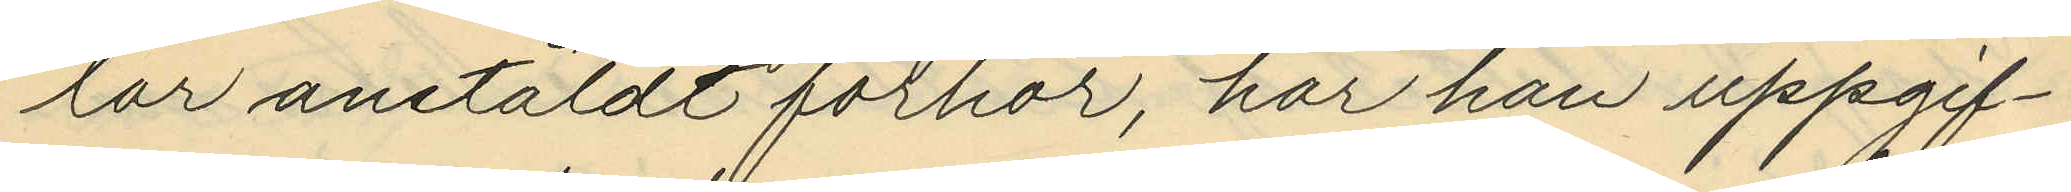lar anstäldt förhör, har han uppgif¬
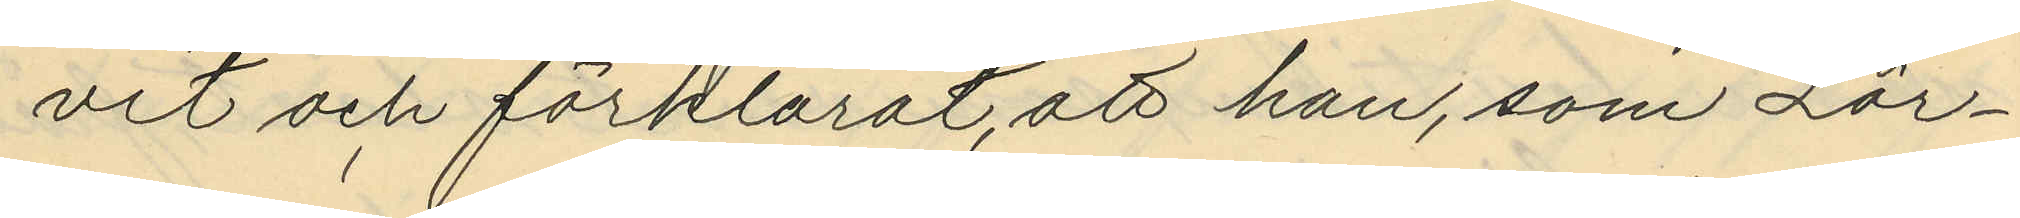vit och förklarat, att han, som Lör¬
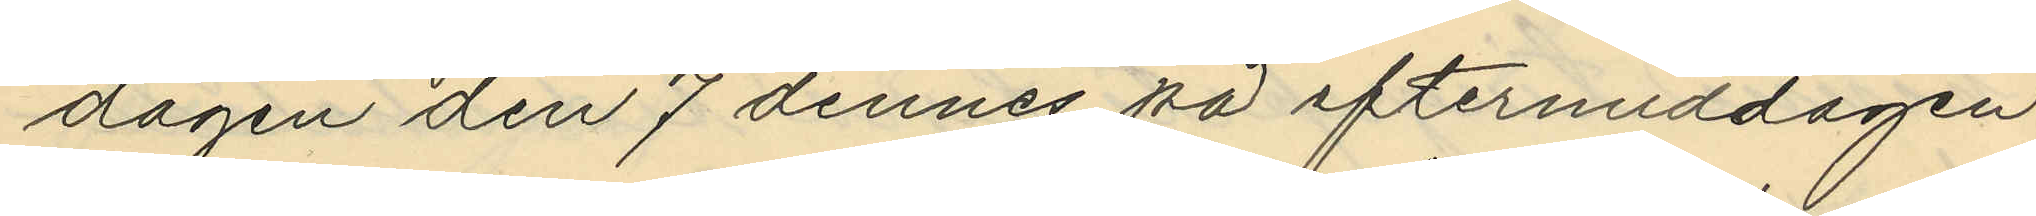dagen den 7 dennes på eftermiddagen
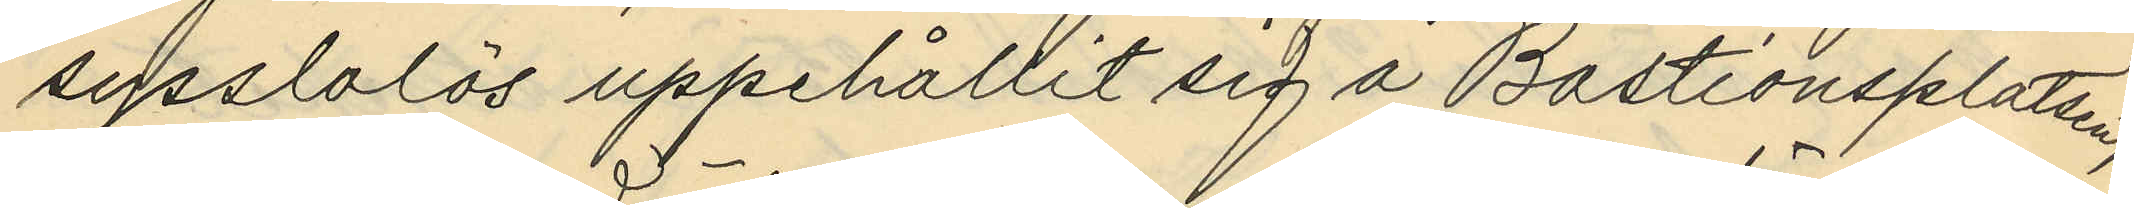sysslolös uppehållit sig å Bastionsplatsen,
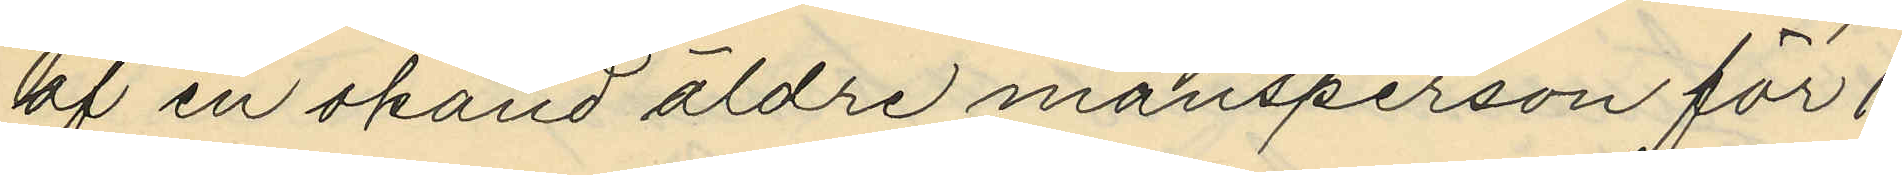af en okänd äldre mansperson för 1
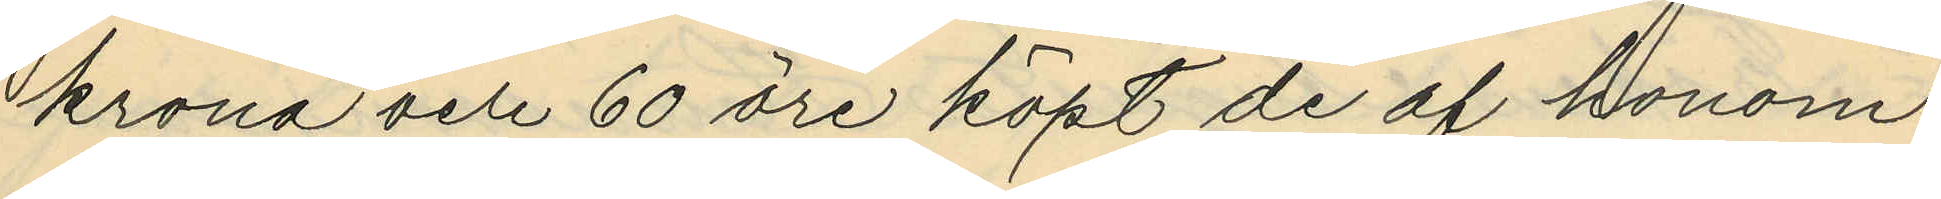krona och 60 öre köpt de af honom
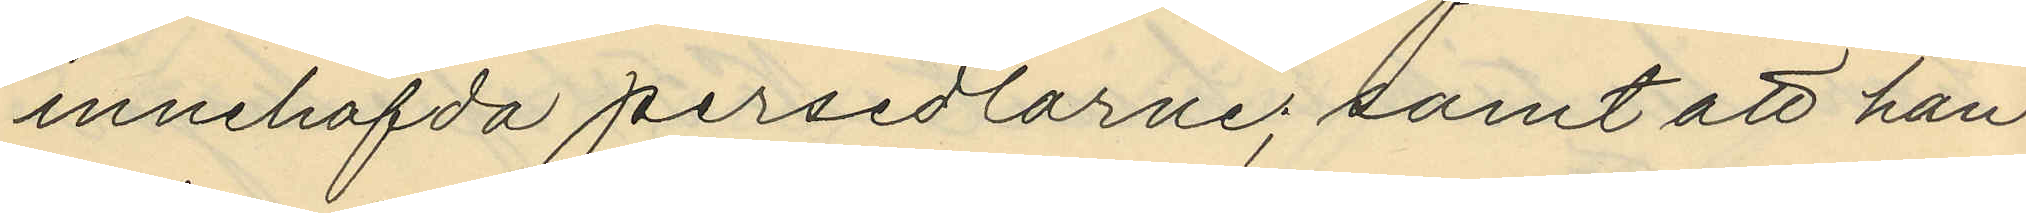innehafda persedlarne; samt att han
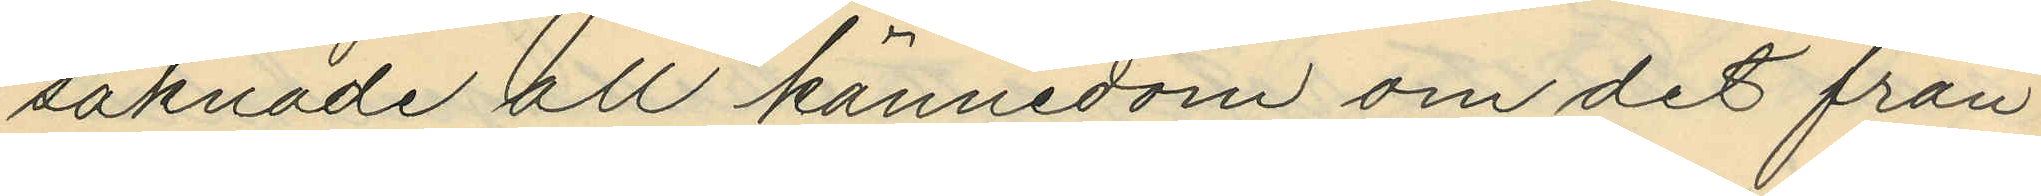saknade all kännedom om det från
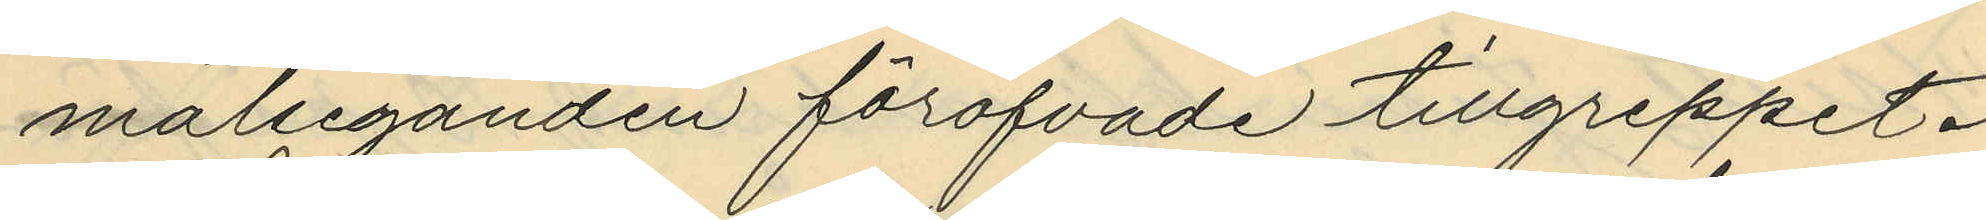målseganden föröfvade tillgreppet.
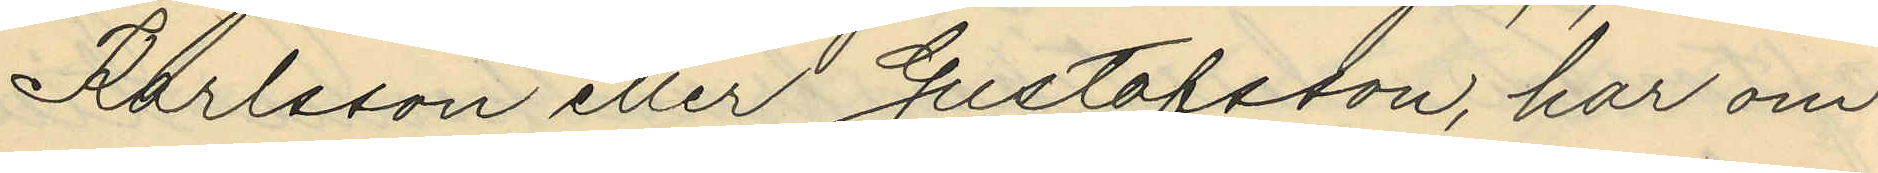Karlsson eller Gustafsson, har om
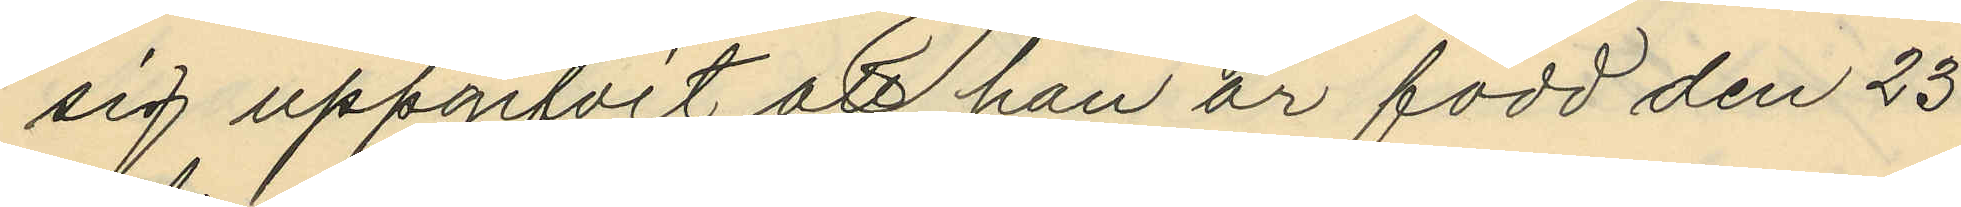sig uppgifvit att han är född den 23
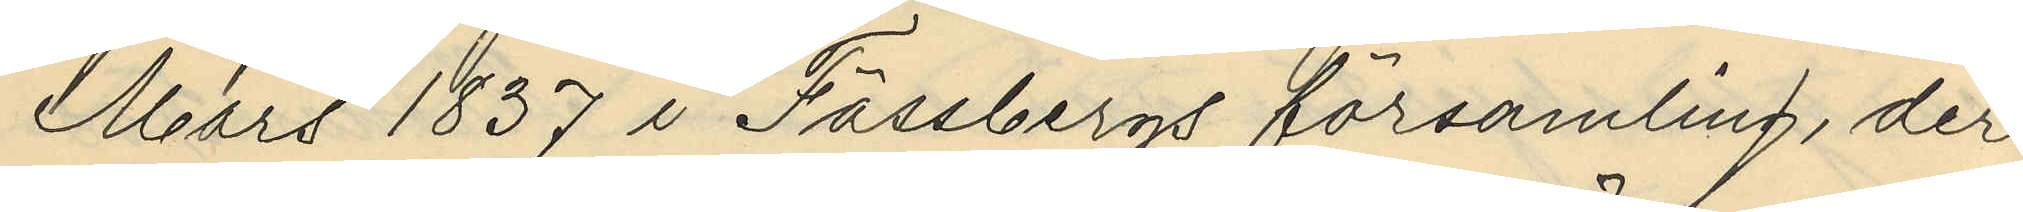Mars 1837 i Fässbergs församling, der
